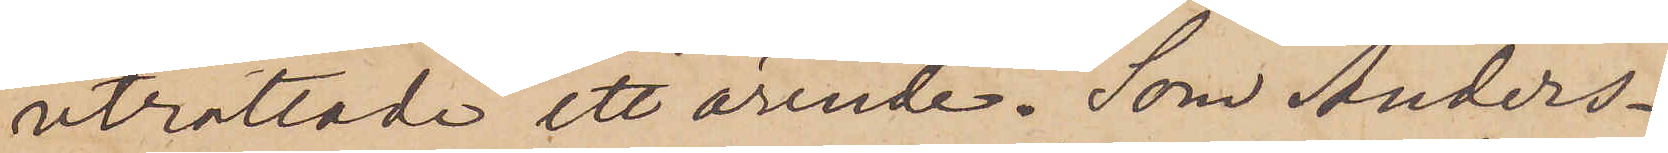uträttade ett ärende. Som Anders¬
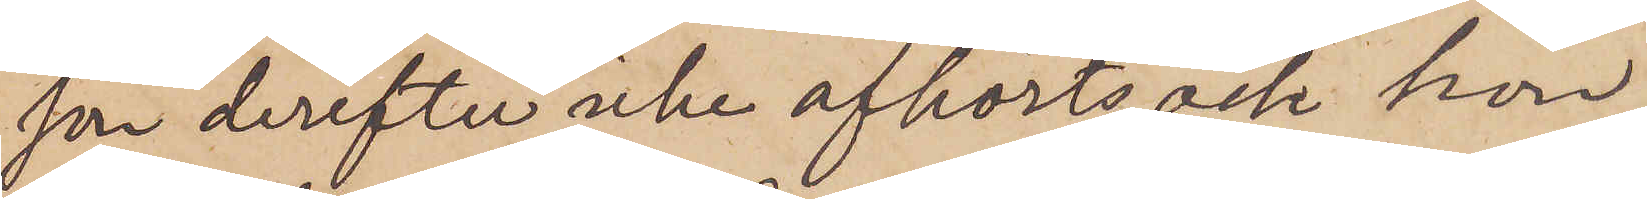son derefter icke afhörts och hon
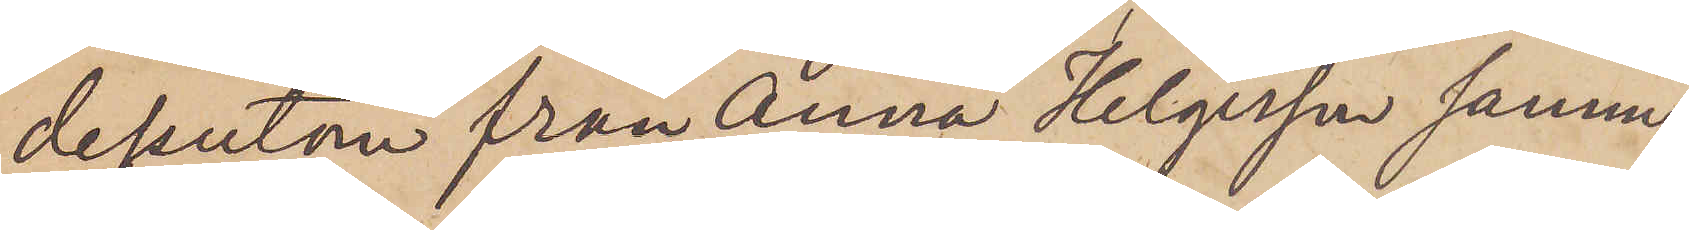dessutom från Anna Helgesson samma
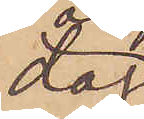dag
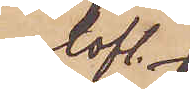olofl.
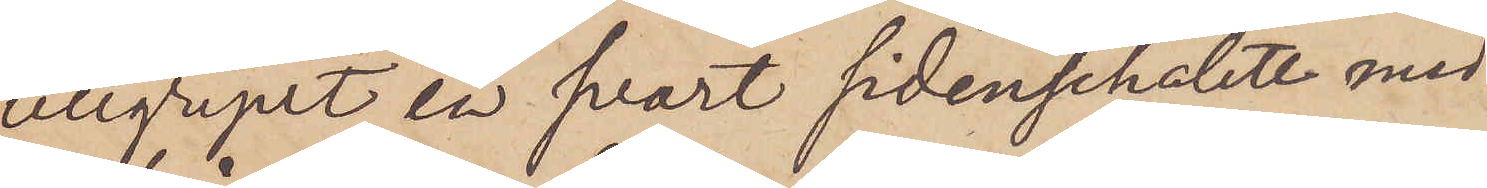tillgripit en svart sidenschalett med
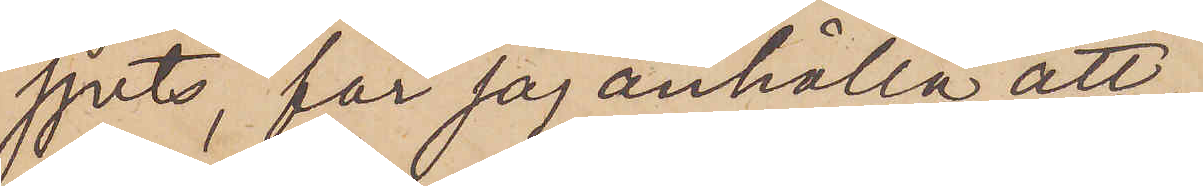spets, får jag anhålla att,
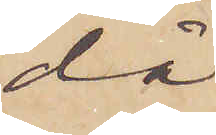då
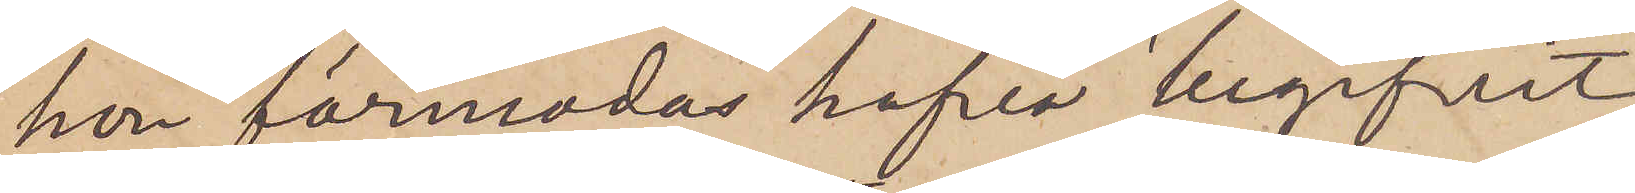hon förmodas hafva begifvit
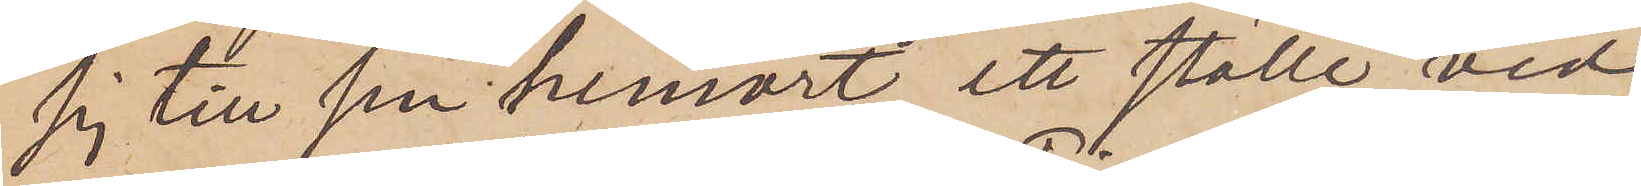sig till sin hemort, ett ställe vid
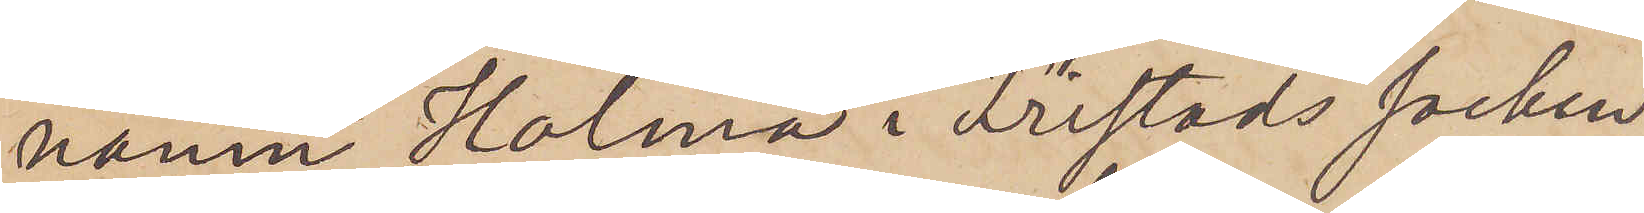namn Holma i Fristads socken,
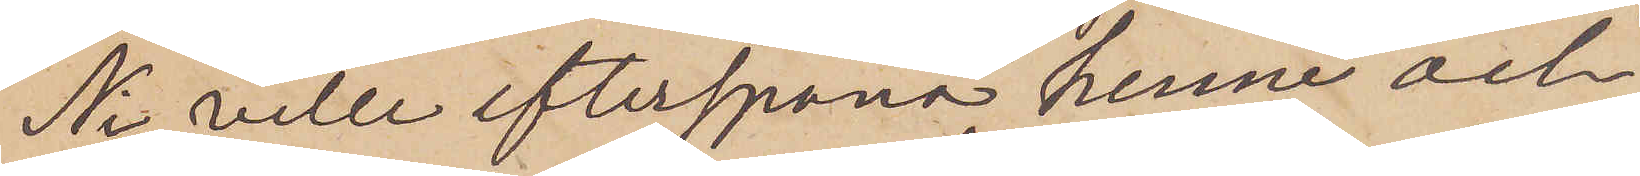Ni ville efterspana henne och,
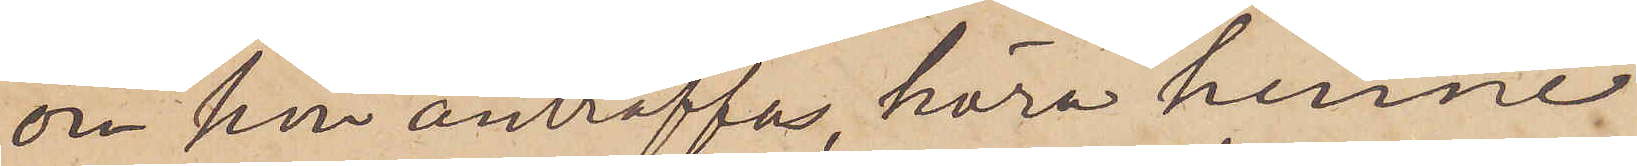om hon anträffas, höra henne
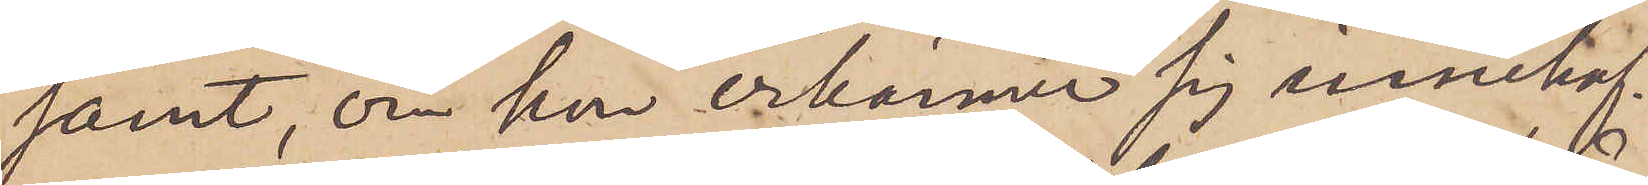samt, om hon erkänner sig innehaf¬
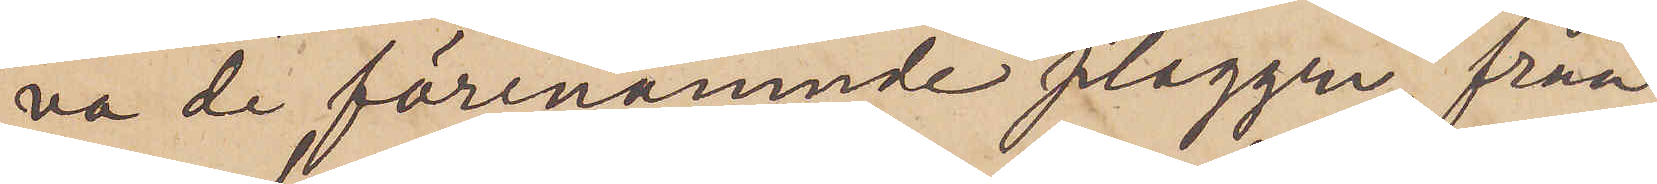va de förenämnde plaggen, från¬
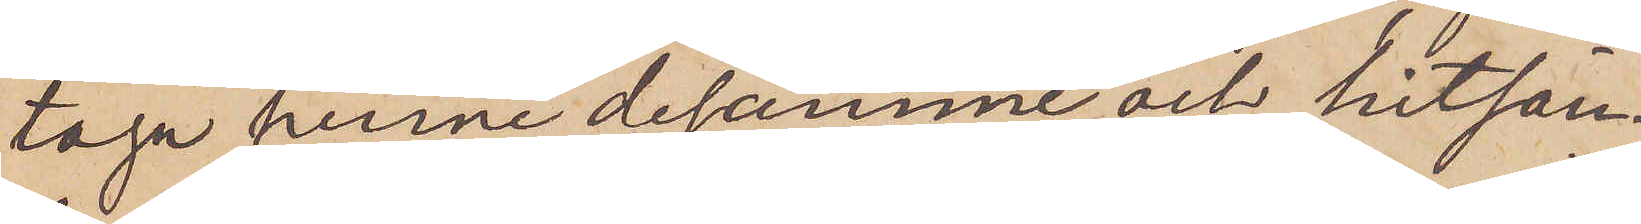taga henne desamme och hitsän¬
